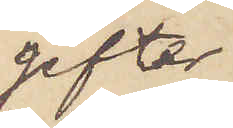gifter
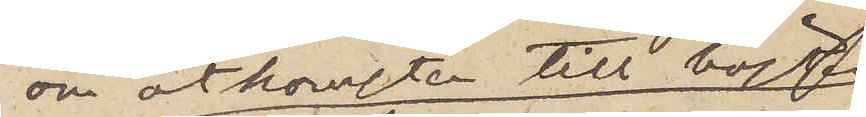om åtkomsten till hästen
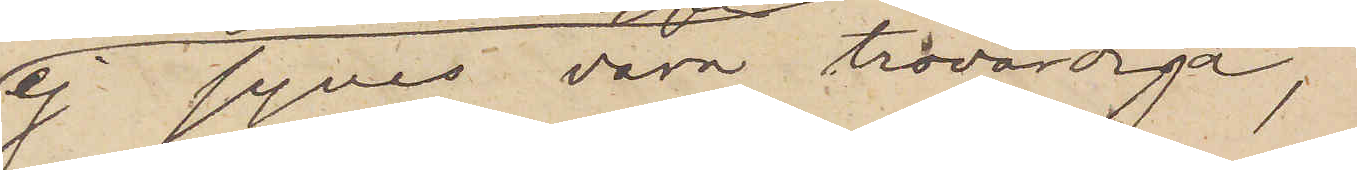ej synes vara trovärdiga,
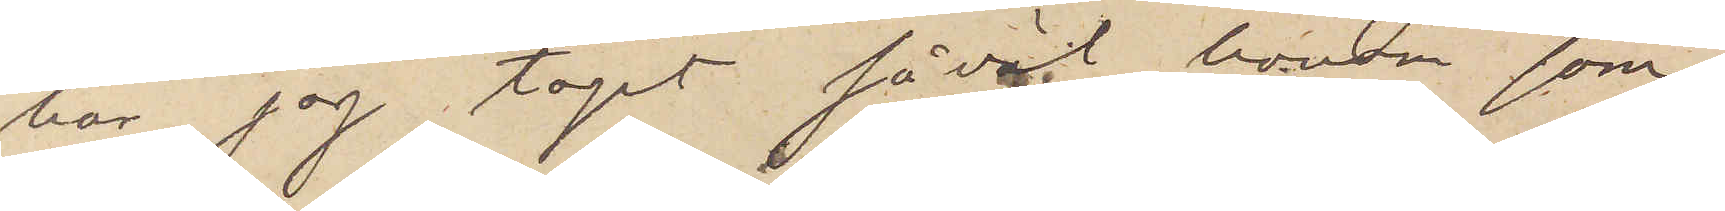har jag tagit såväl honom som
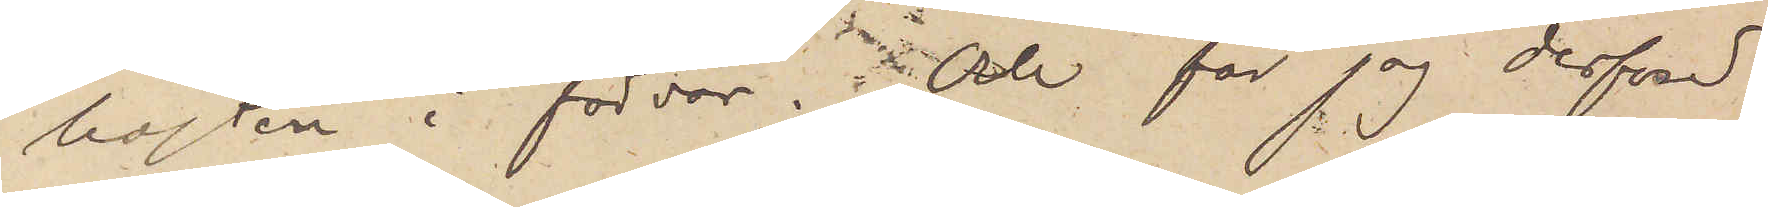hästen i förvar; Och får jag derfved
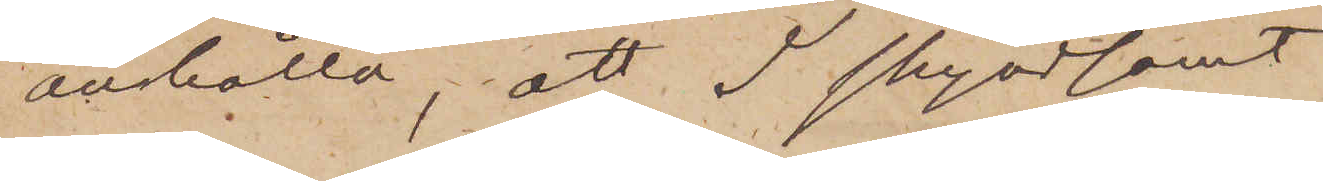anhålla, att I skyndsamt
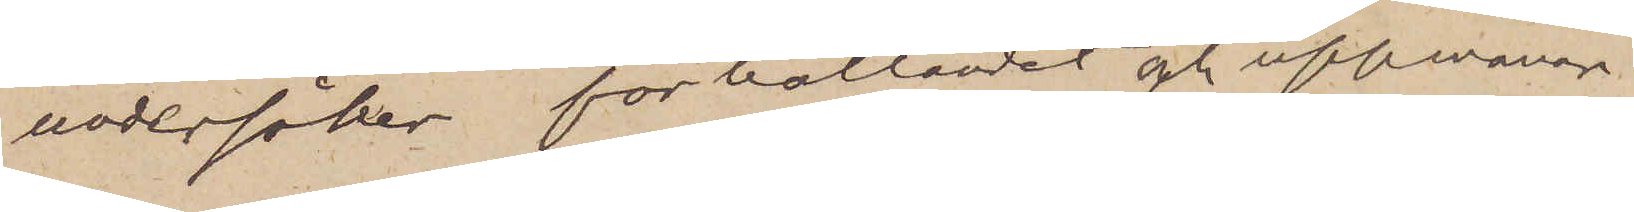undersöker förhållandet och uppmanar
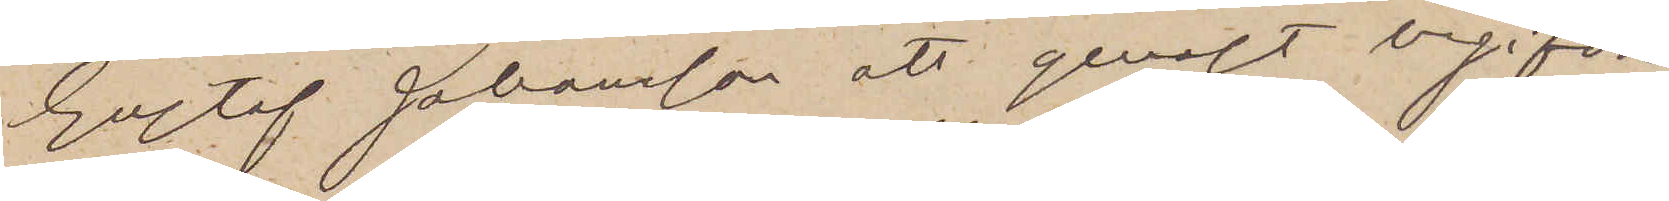Gustaf Johansson att genast begifva
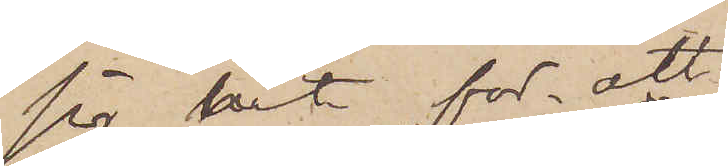sig hit för att
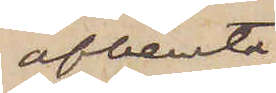afhemta
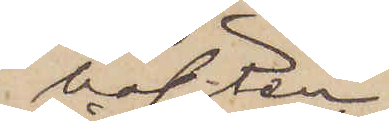hästen
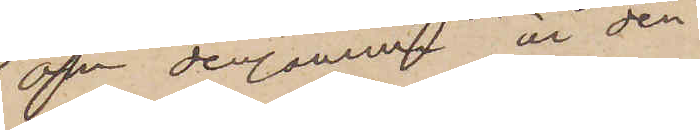om densamma är den
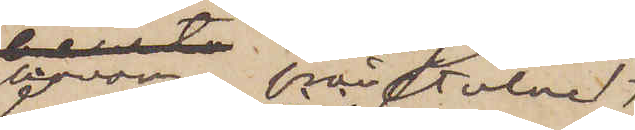honom frånstulne,
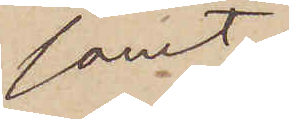samt
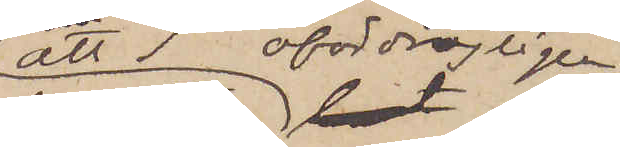att I ofördröjligen
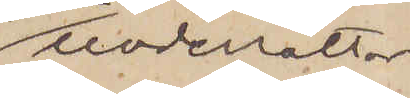underrättar
